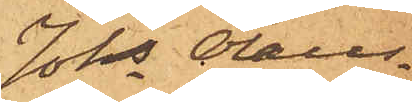Johs Olaus¬
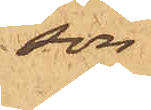son
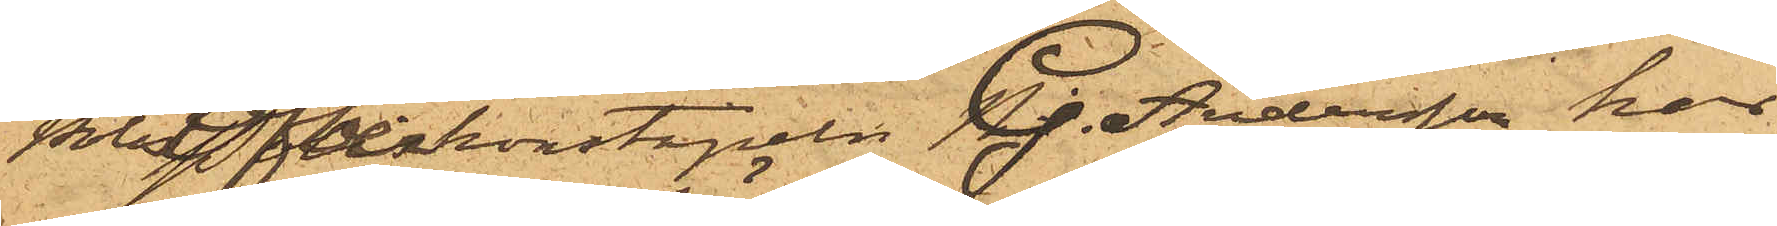Överkonstapeln G. Andersson har
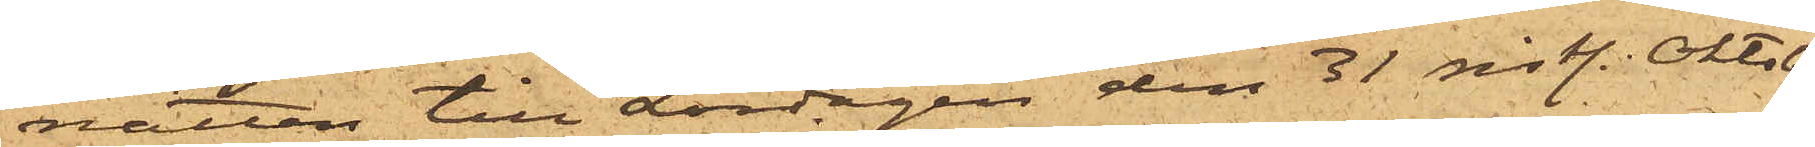natten till Lördagen den 31 sist. Oktober
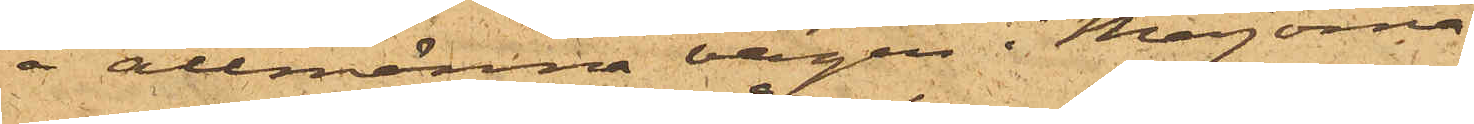å allmänna vägen i Majorna
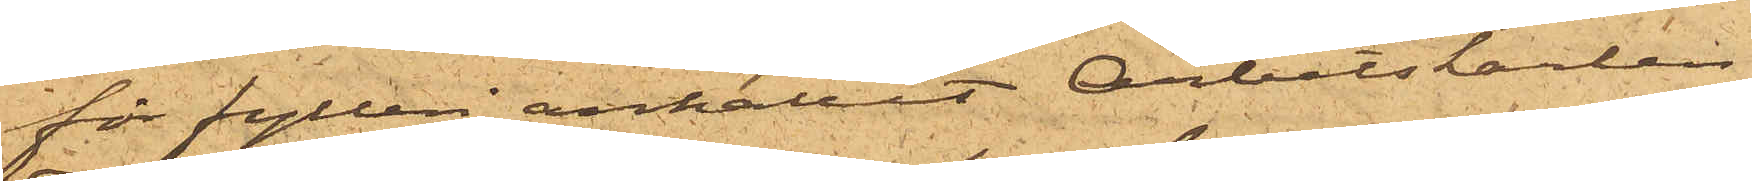för fylleri anhållit Arbetskarlen
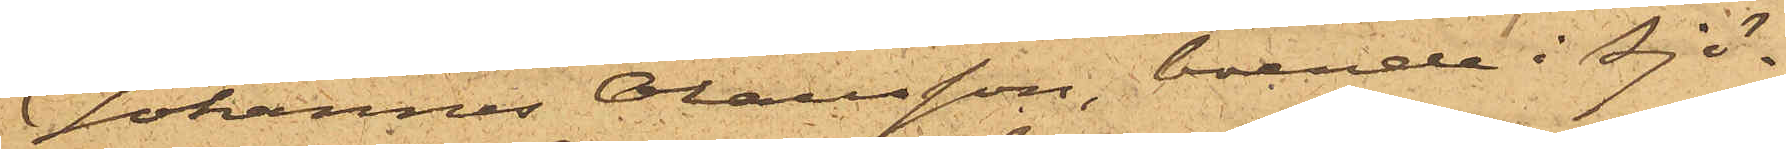Johannes Olausson, boende i sjö¬
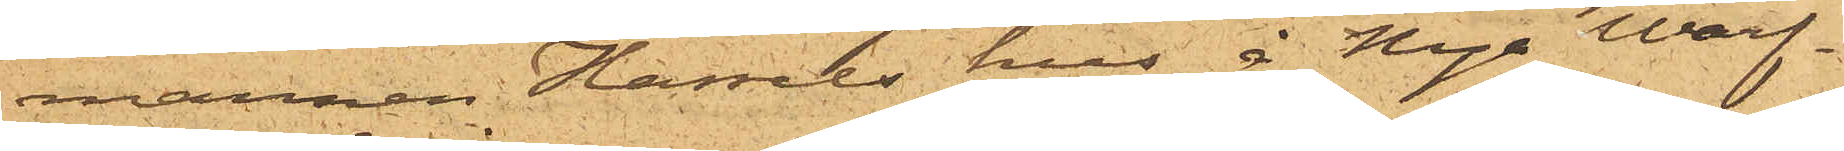mannen Hassels hus å Nya Warf¬
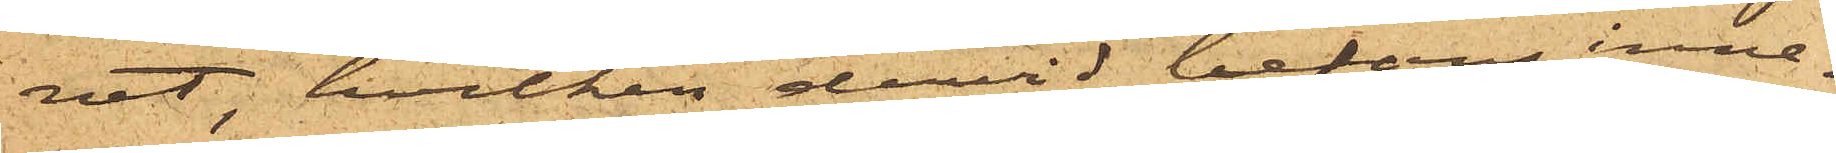vet, hvilken dervid befans inne¬
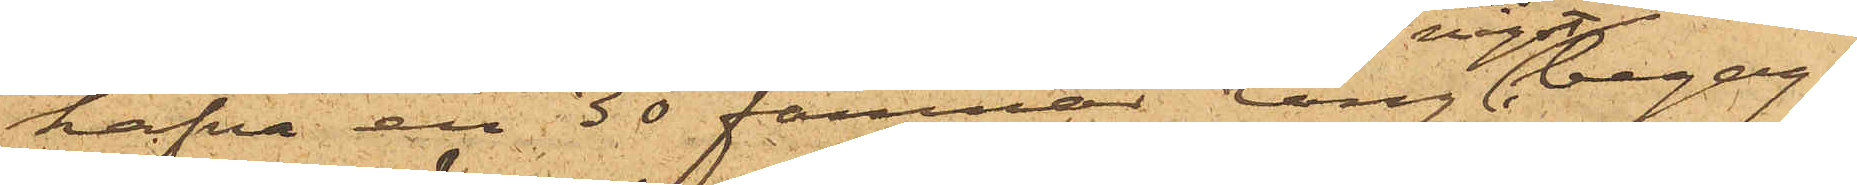hafva en 30 famnar lång något begag¬
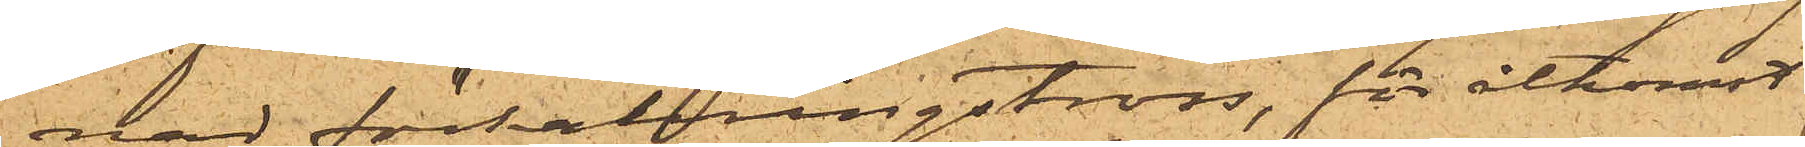nad förtöjningstross, för åtkomst
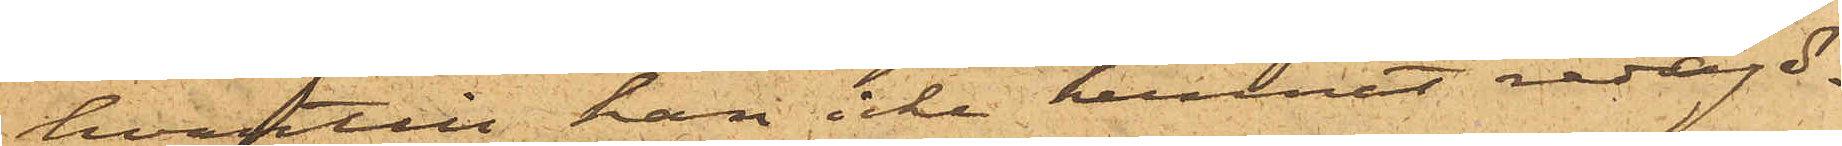hvartill han icke kunnat redogö¬
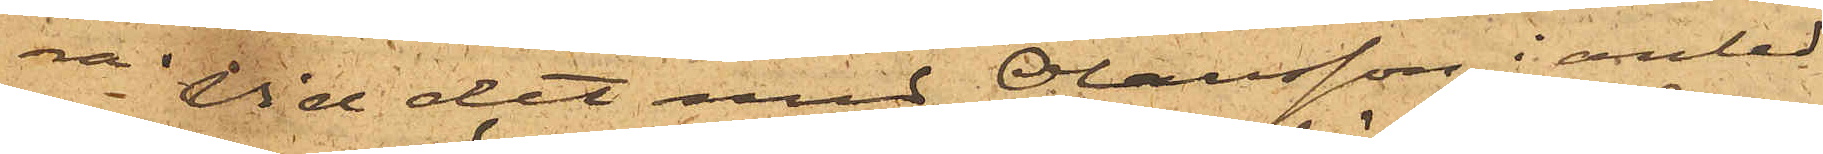ra. Vid det med Olausson i anled¬
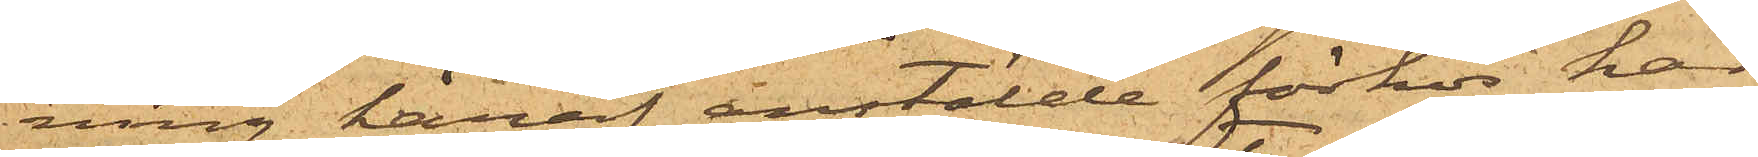ning häraf anstälde förhör har
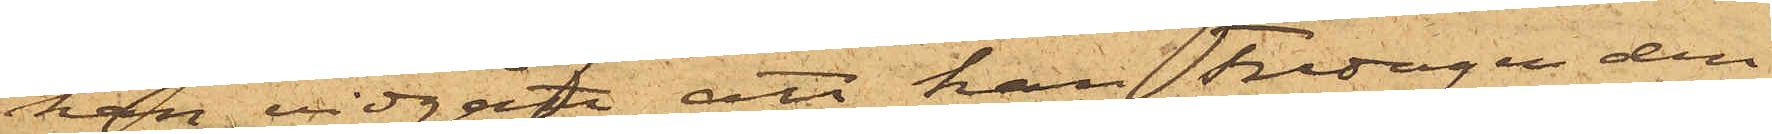han vidgått, att han Fredagen den
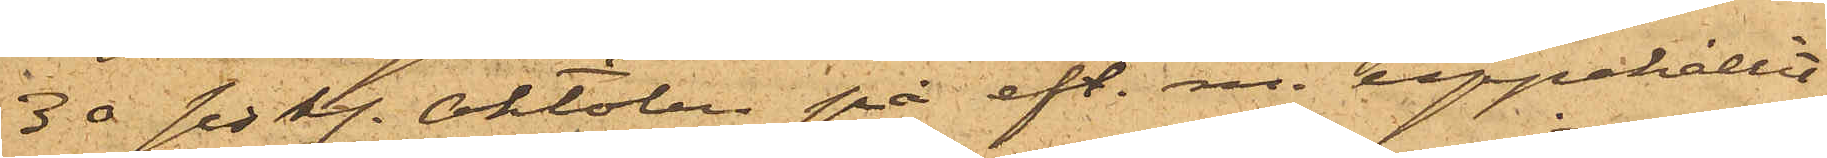30 sist. Oktober på eft.m. uppehållit
